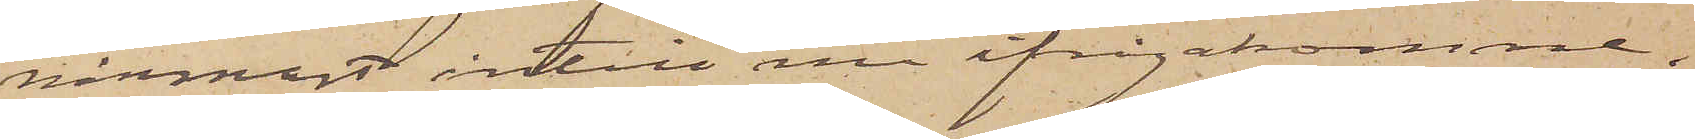närmast intill nu ifrågakomne.
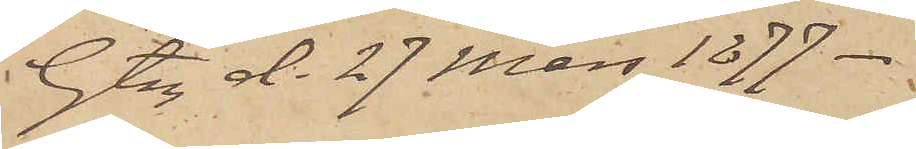Gtbg d. 27 Mars 1877.
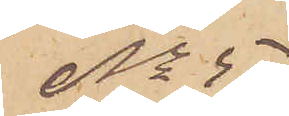No 5
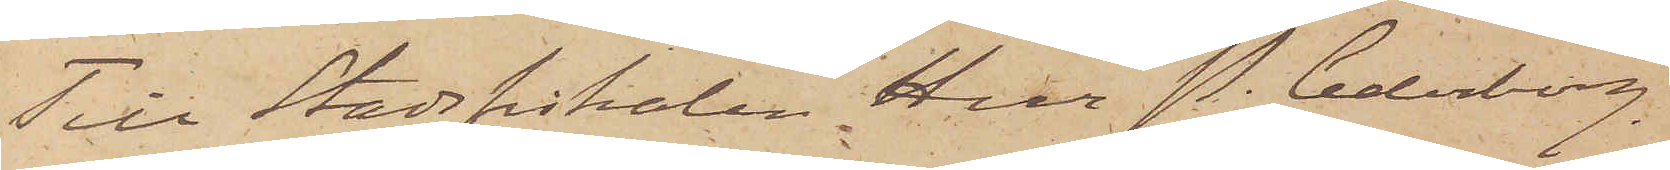Till Stadsfiskalen Herr P. Cederborg.
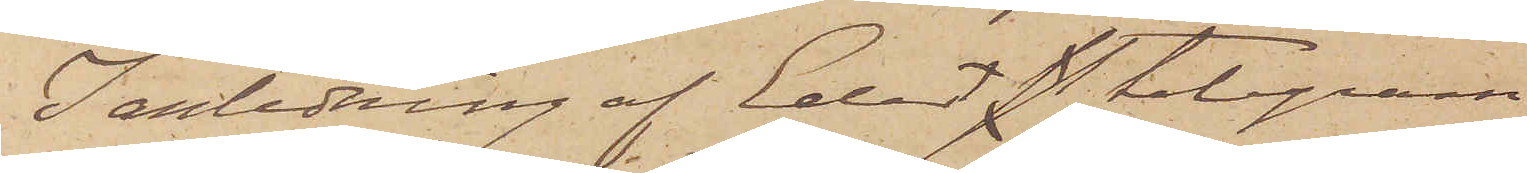I anledning af Edert st telegram
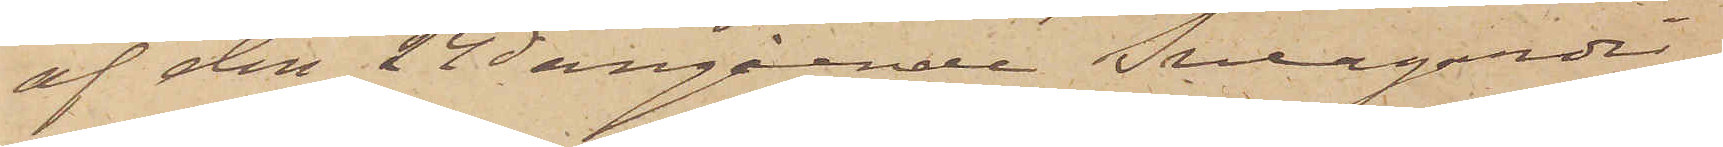af den 24 ds angående Sveagardi¬
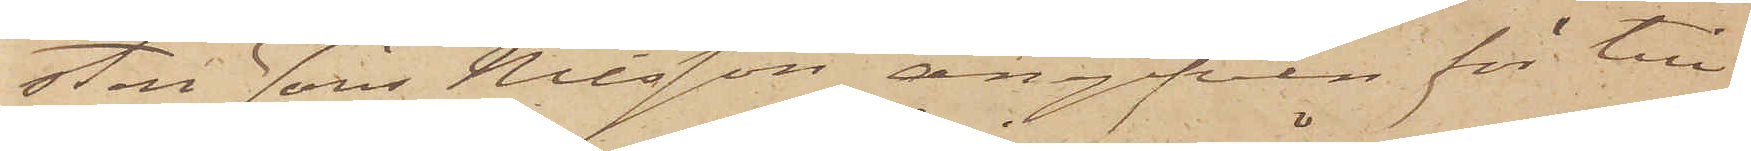sten Jöns Nilsson, angifven för till¬
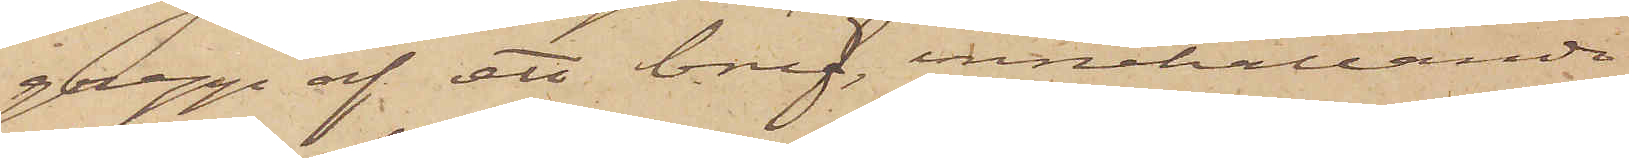grepp af ett bref, innehållande
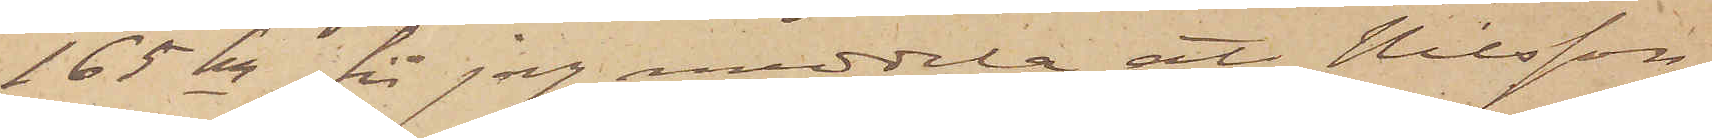165 kr, får jag meddela, att Nilsson
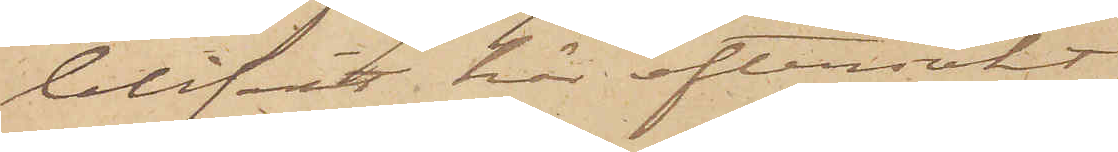blifvit här eftersökt,
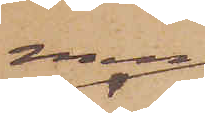men
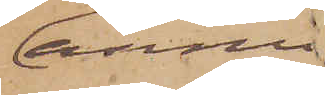ännu
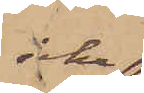icke
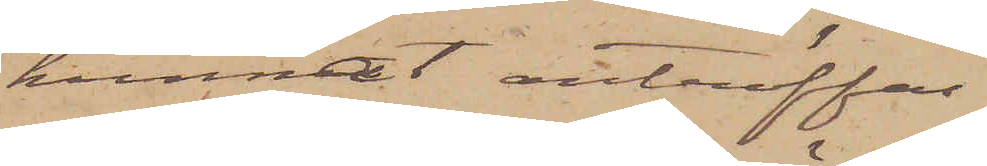kunnat anträffas.
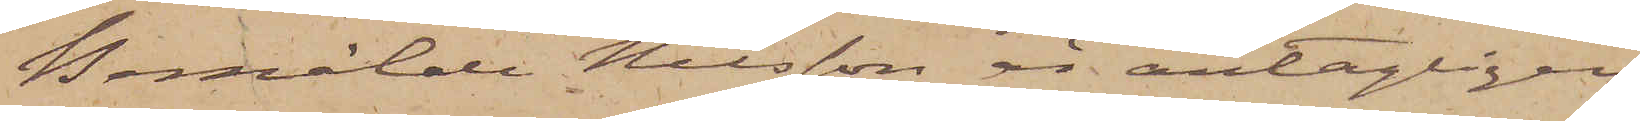Bemälde Nilsson är antagligen
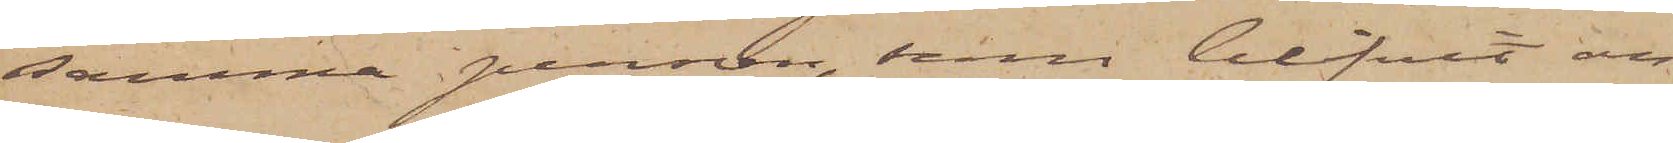samma person, som blifvit an¬
